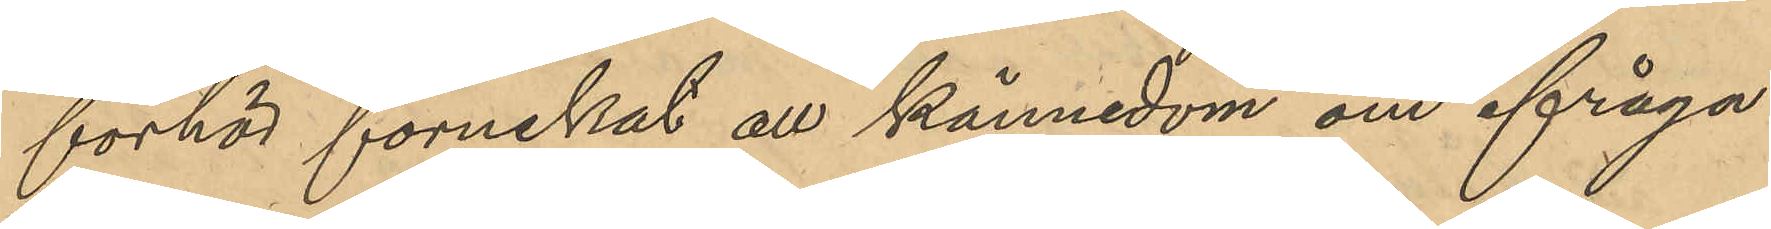förhör förnekat all kännedom om ifråga¬
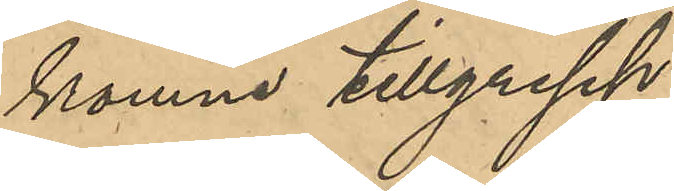komna tillgrepp.
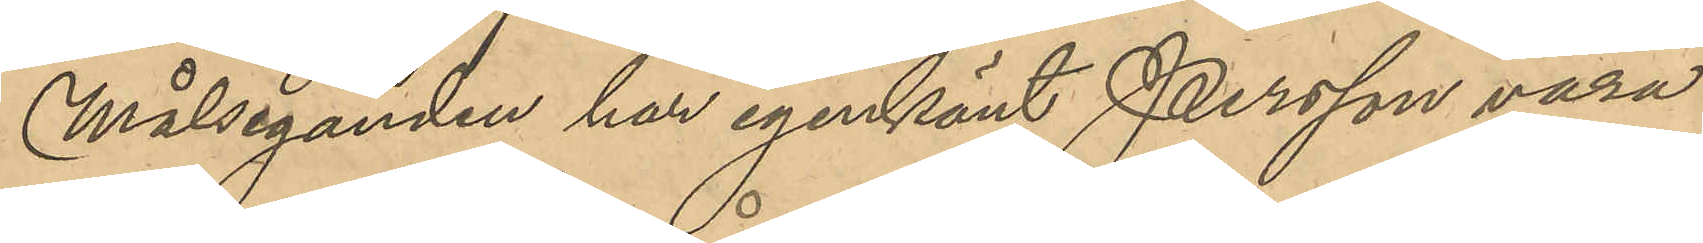Målseganden har igenkänt Persson vara
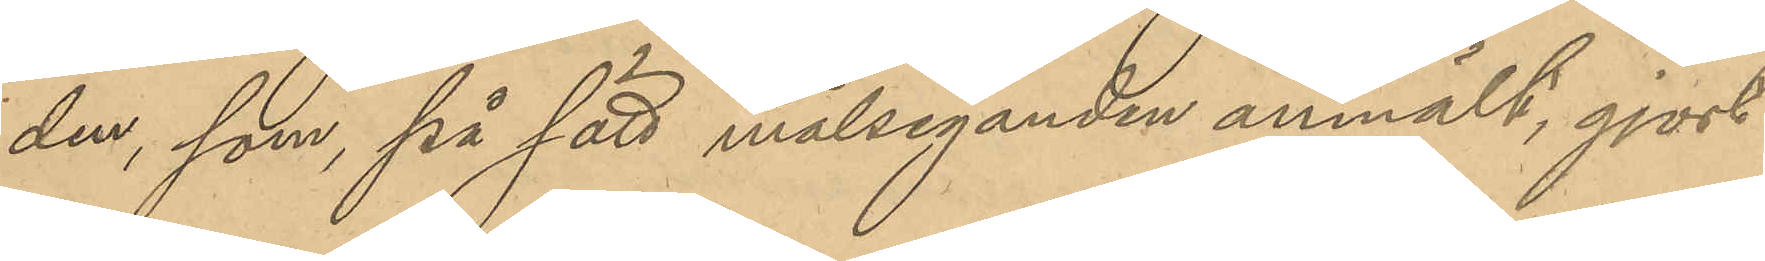den, som på sätt målseganden anmält, gjort
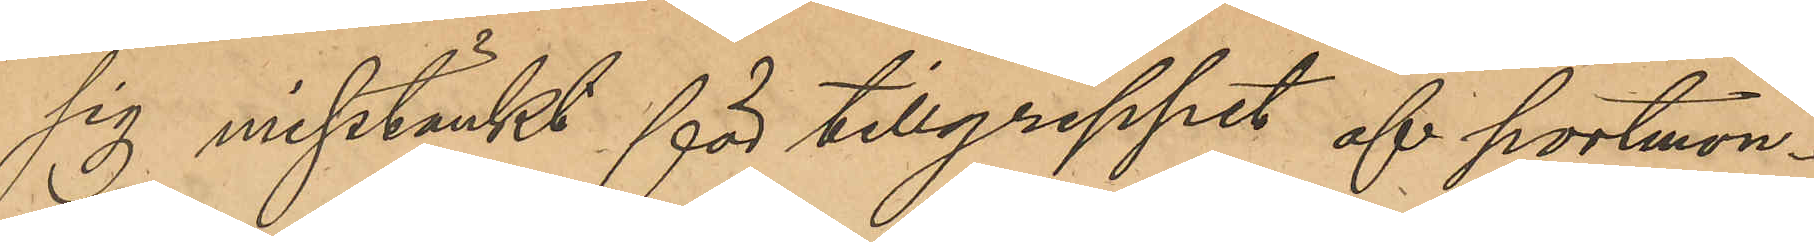sig misstänkt för tillgreppet af portmon¬
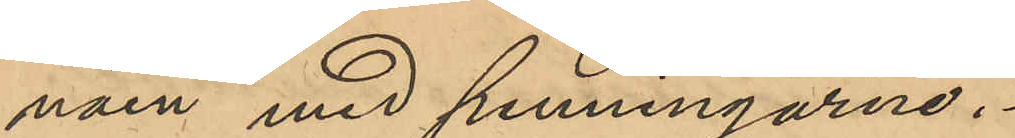näen med penningarne.
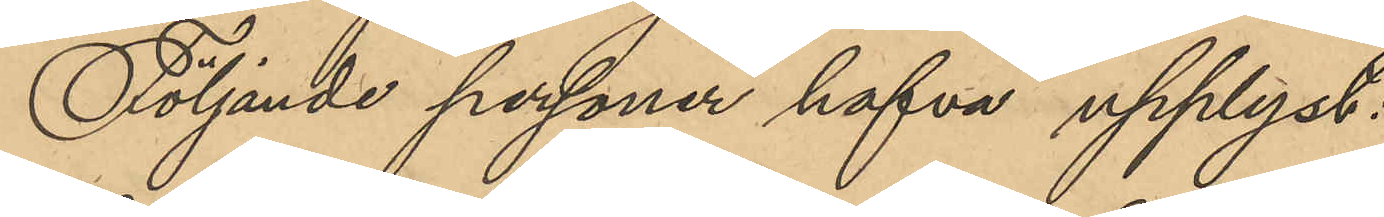Följande personer hafva upplyst:
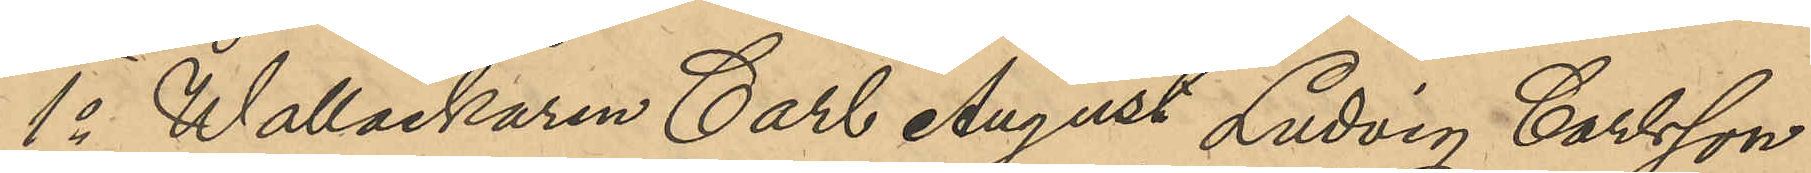1o Wallackaren Carl August Ludvig Carlsson
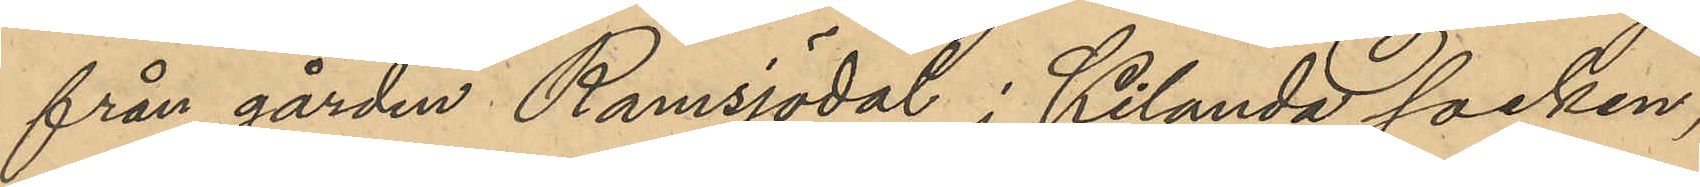från gården Ramsjödal i Kilanda socken,
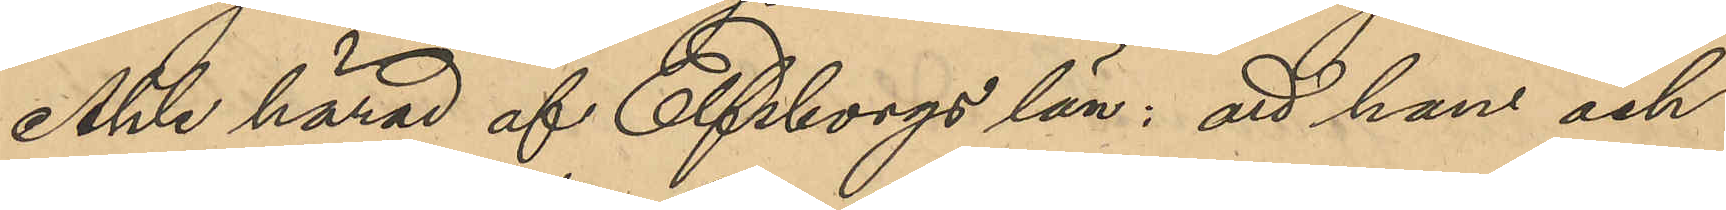Ahle härad af Elfsborgs län: att han och
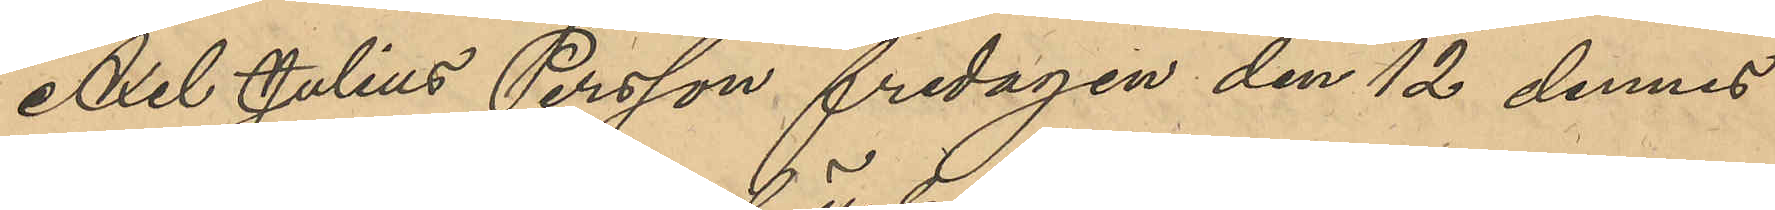Axel Julius Persson fredagen den 12 dennes
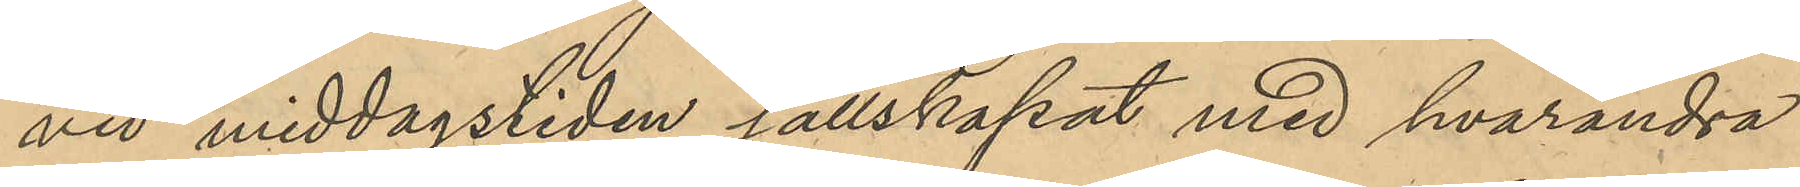vid middagstiden sällskapat med hvarandra
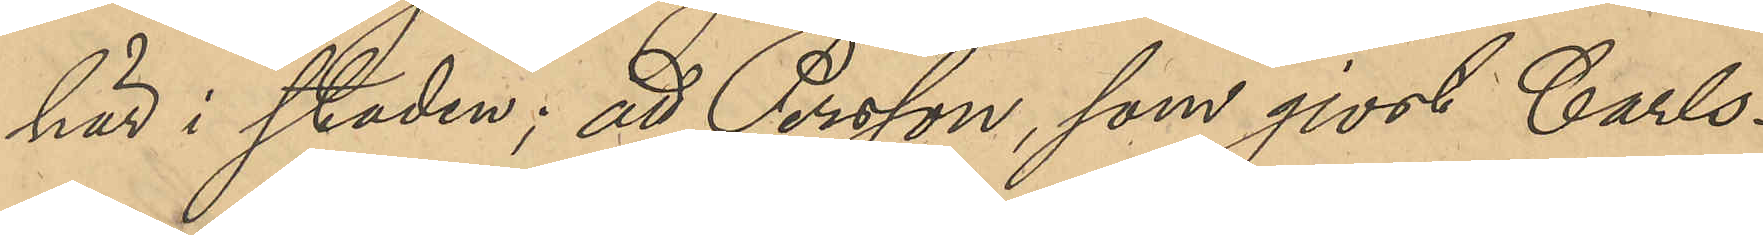här i staden; att Persson, som gjort Carls¬
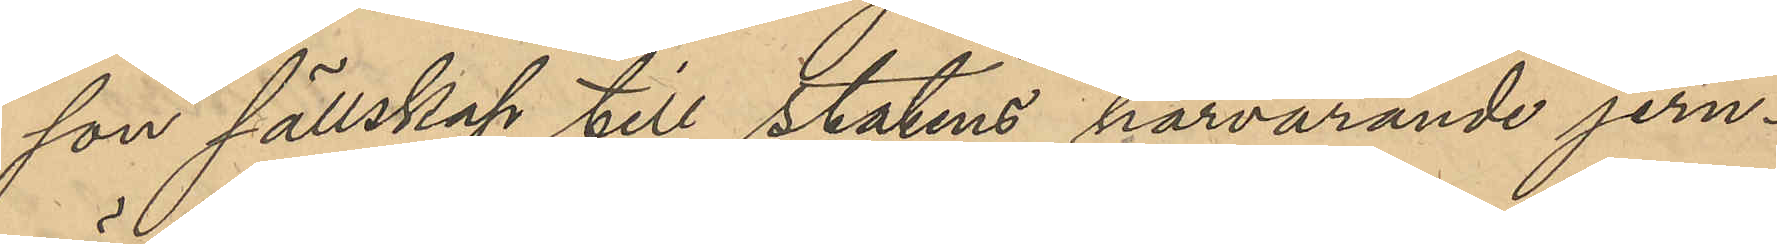son sällskap till statens härvarande jern¬
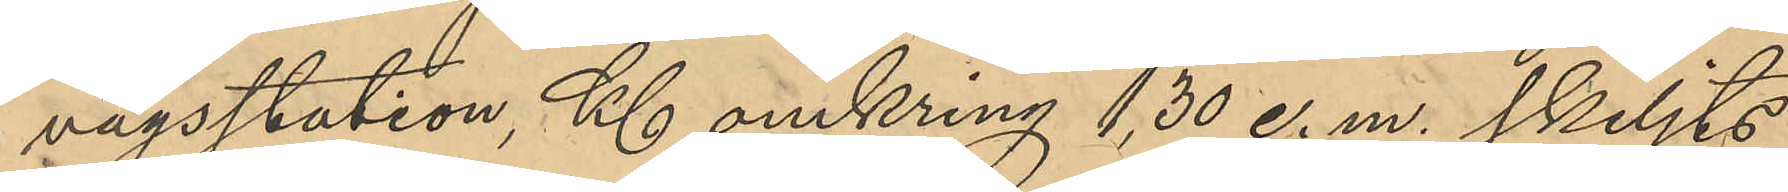vägsstation, Kl omkring 1,30 e. m. skiljts
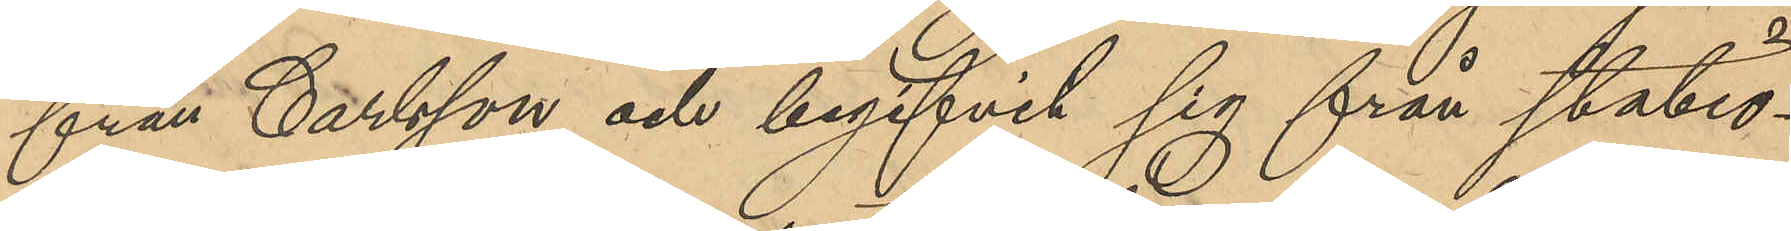från Carlsson och begifvit sig från statio¬
